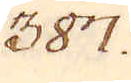387.
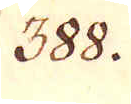388.
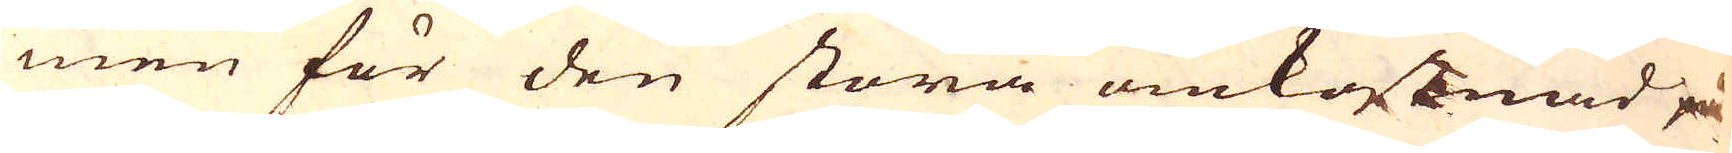men för den stora omkostknad på
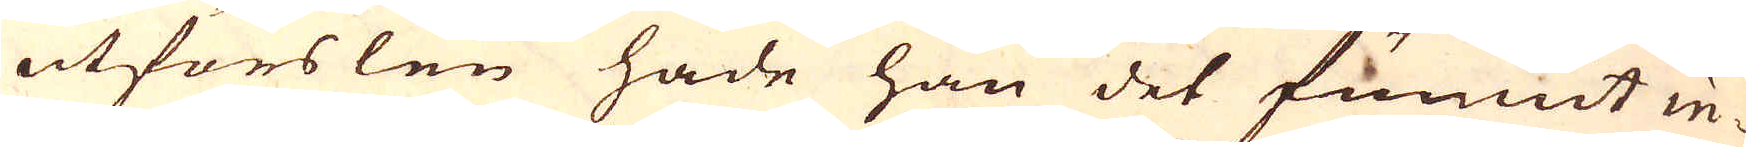utförslen hade han det funnit in-
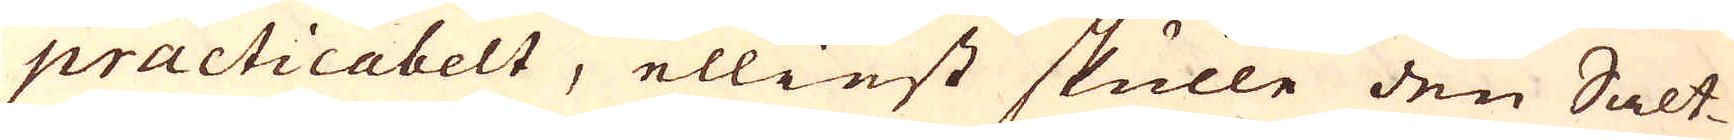practicabelt, elliest skulle den Salt-
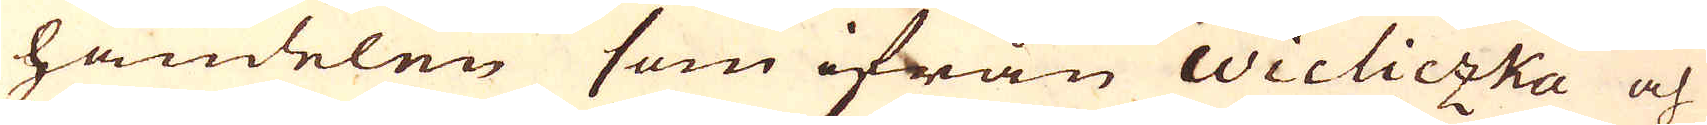handelen som ifrån Wicliczka och
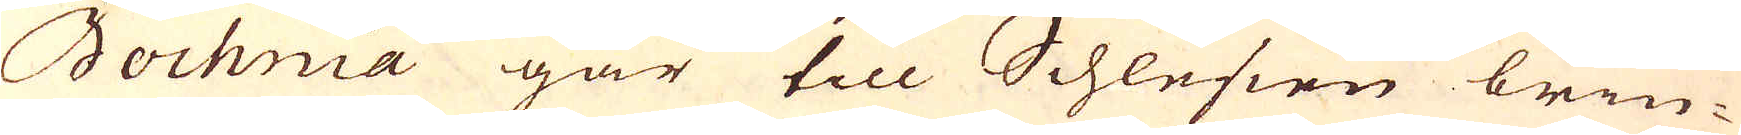Bochnia går till Schlesien brin-
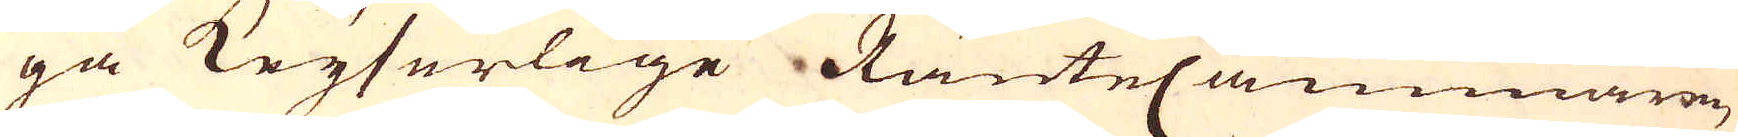ga Keyserlige RänteCammaren,
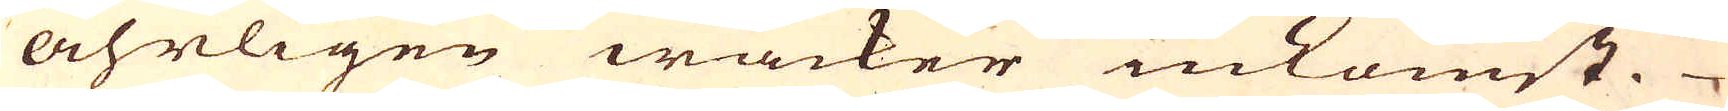åhrligen wacker inkomst.
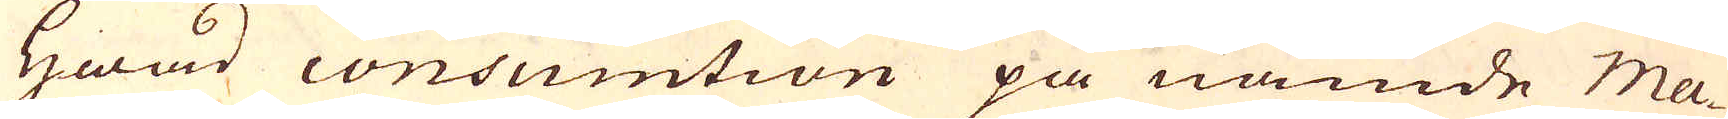Hwad consumtion på nämde ma-
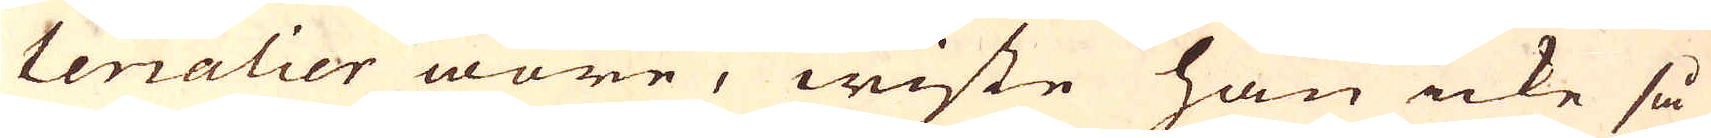terialier wore, wiste han icke så
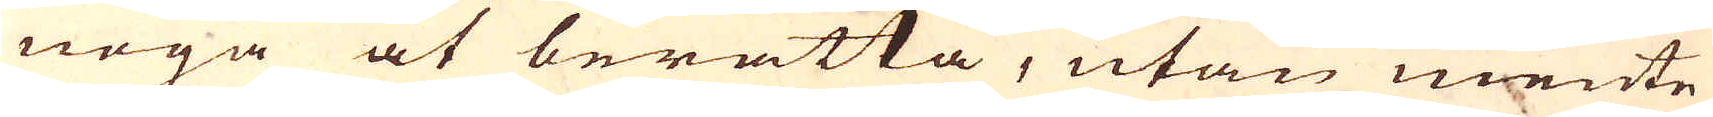noga at berätta, utan mente
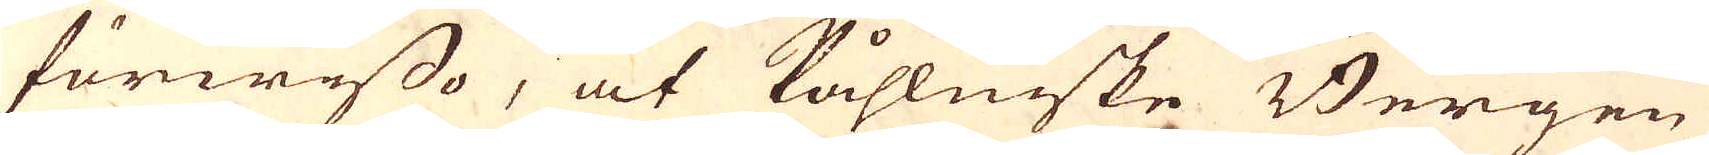förwisso, at Påhlniske Bergen
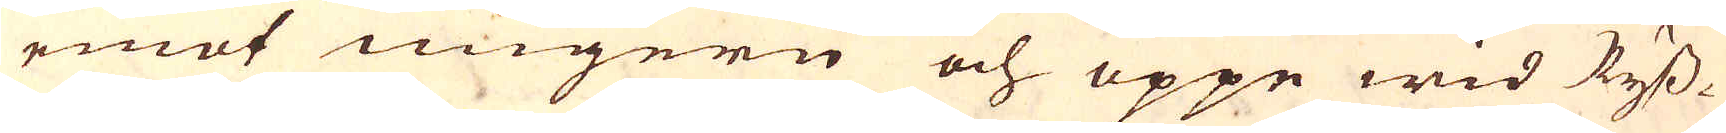emot Ungern och uppe wid Ryss-
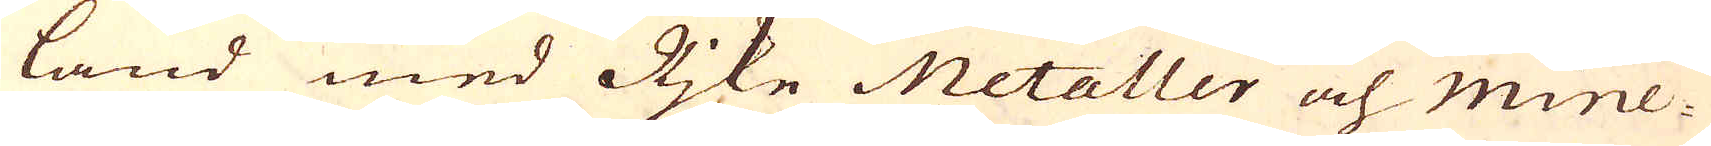land med Rjke Metaller och mine-
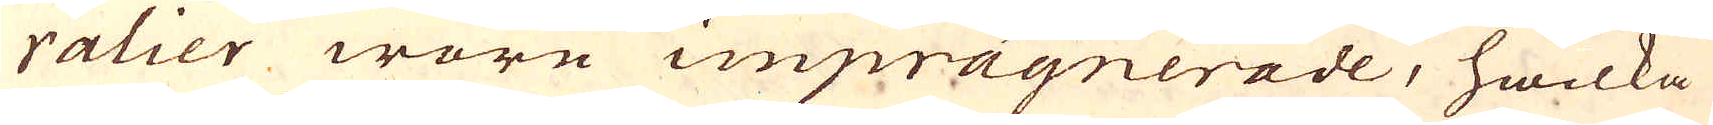ralier wore imprägnerade, hwilka
